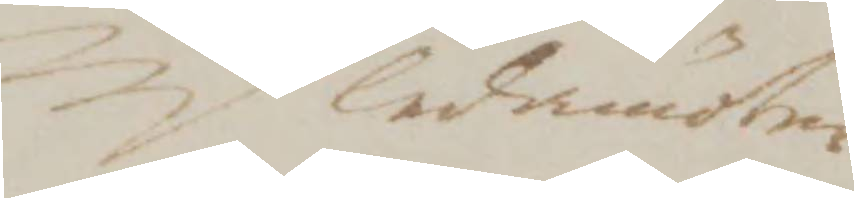ledamöter
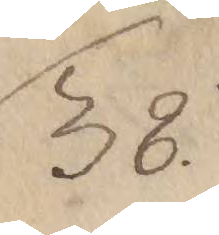38.
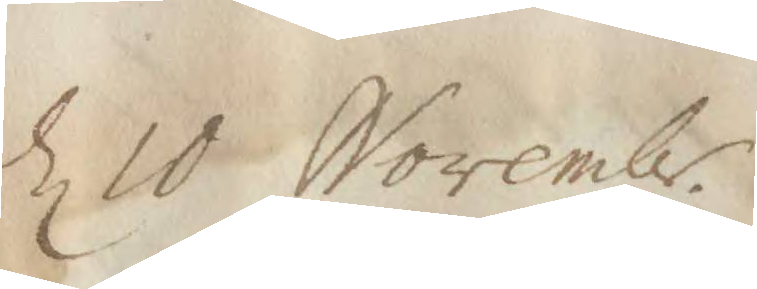d 10 Novembr.
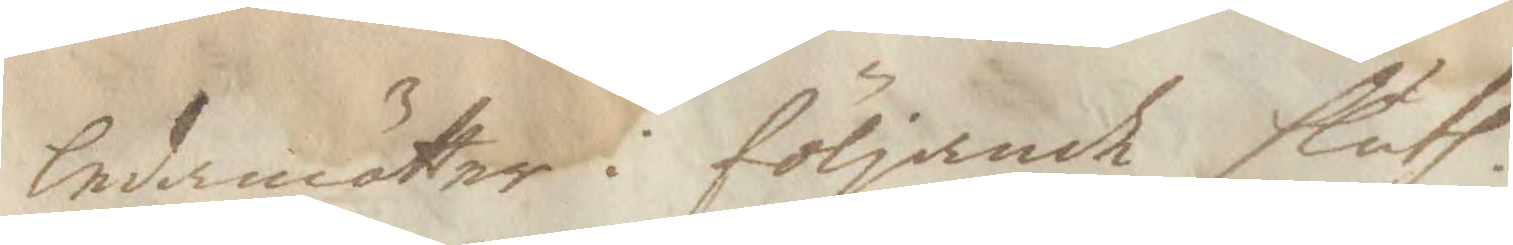ledamötter i följande sluth.
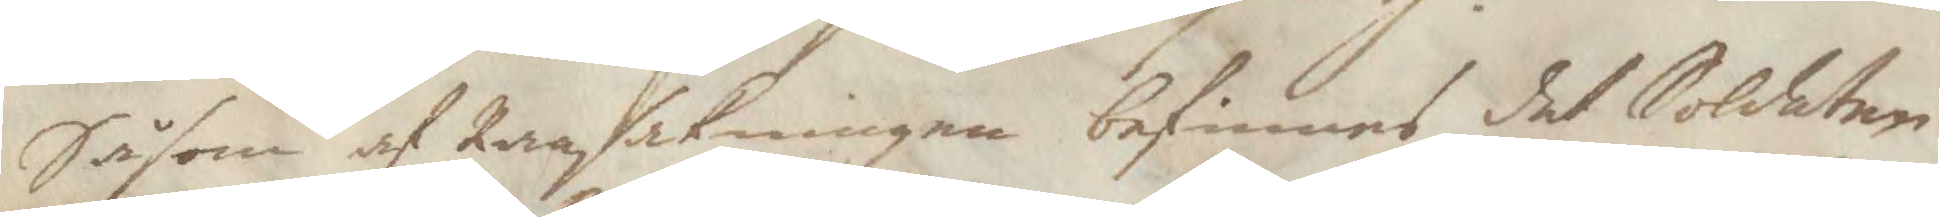Såsom af Ransakningen befinnes det Soldaten
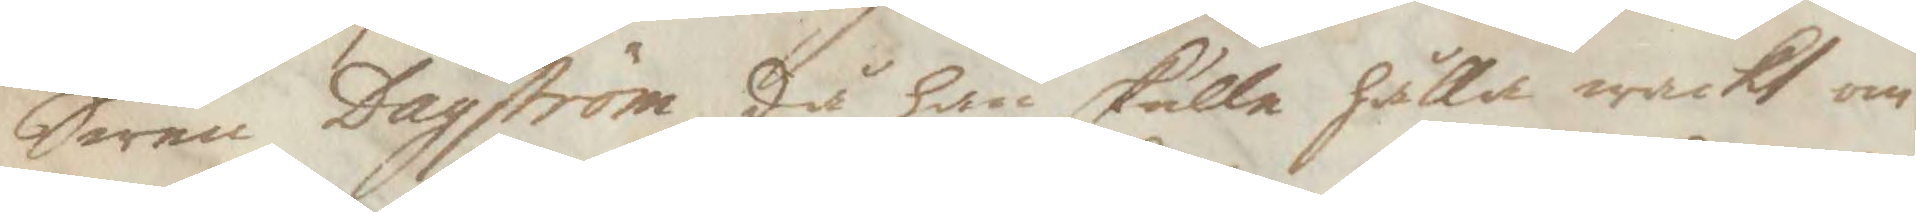Swen Dagström, då han skulle hålla wackt om
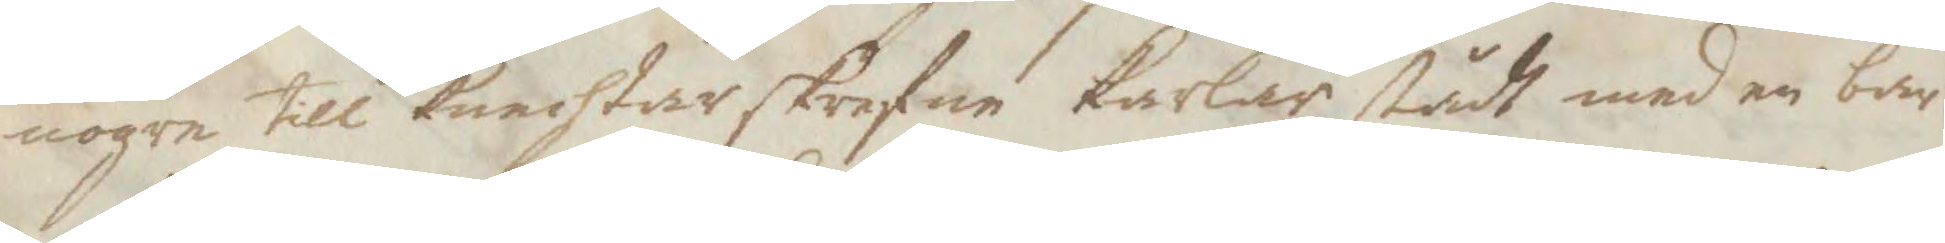nogra till knechtar skrefne karlar, stådt med en bar
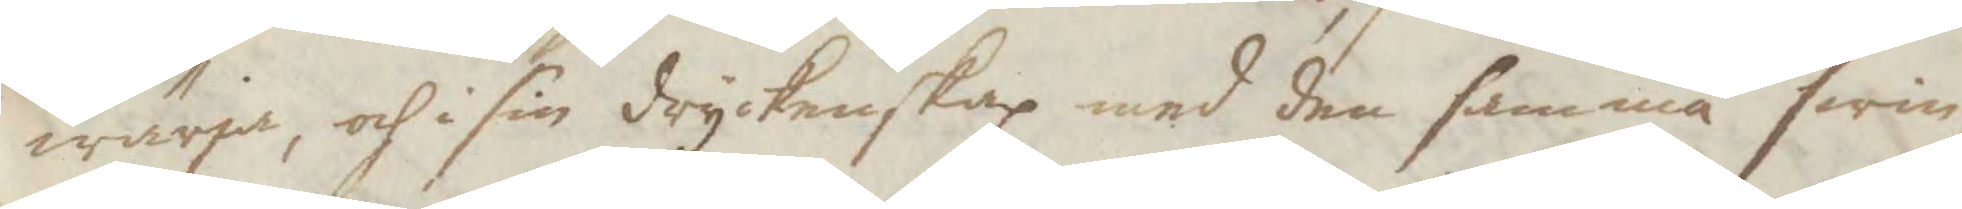wärja, och i sin dryckenskap med den samma swin¬
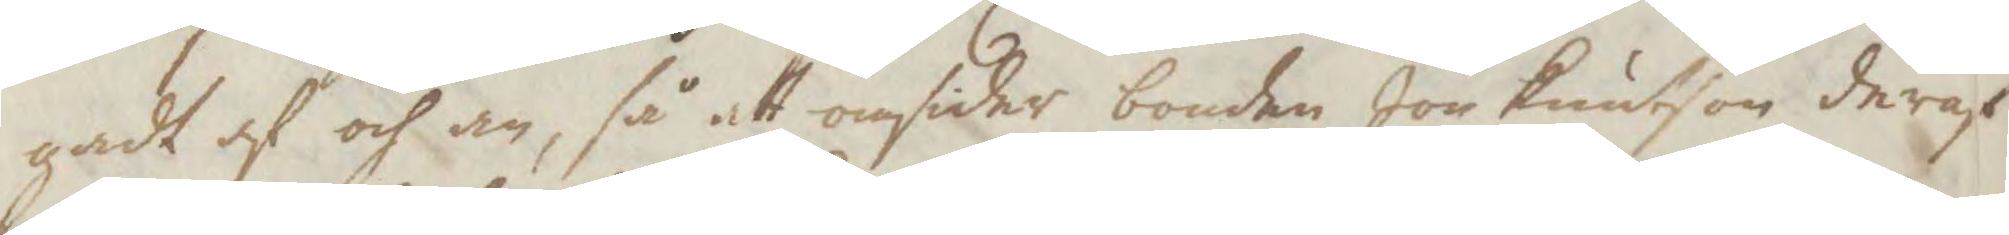gadt af och an, så att omsider bonden Jon Knutzon deraf
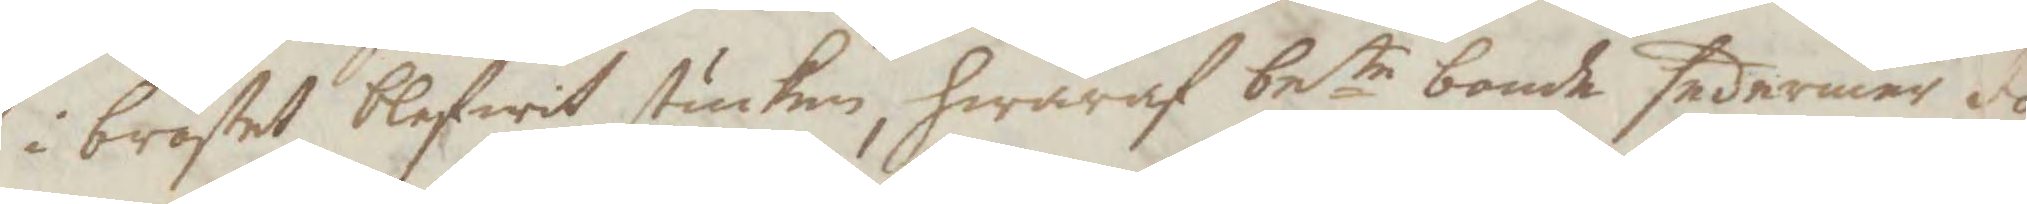i bröstet blifwit stucken, hwaraf bete bonde sedermera dö¬
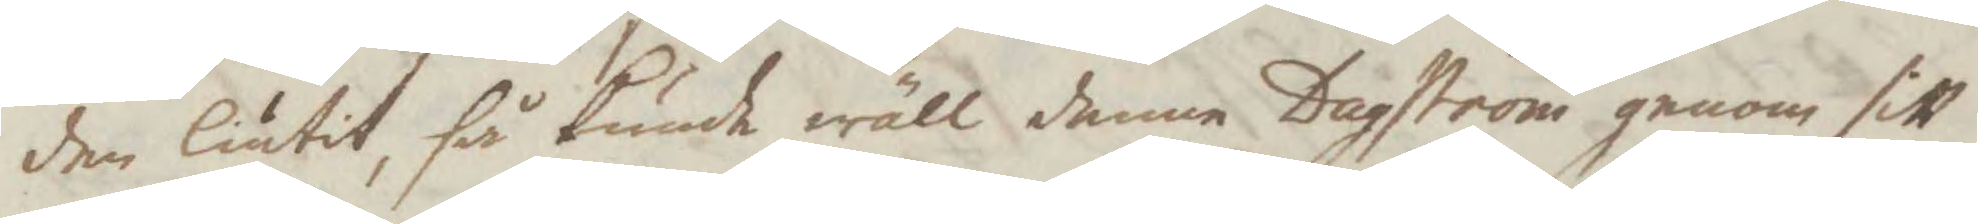den liutut, så kunde wäll denne Dagström genom sitt
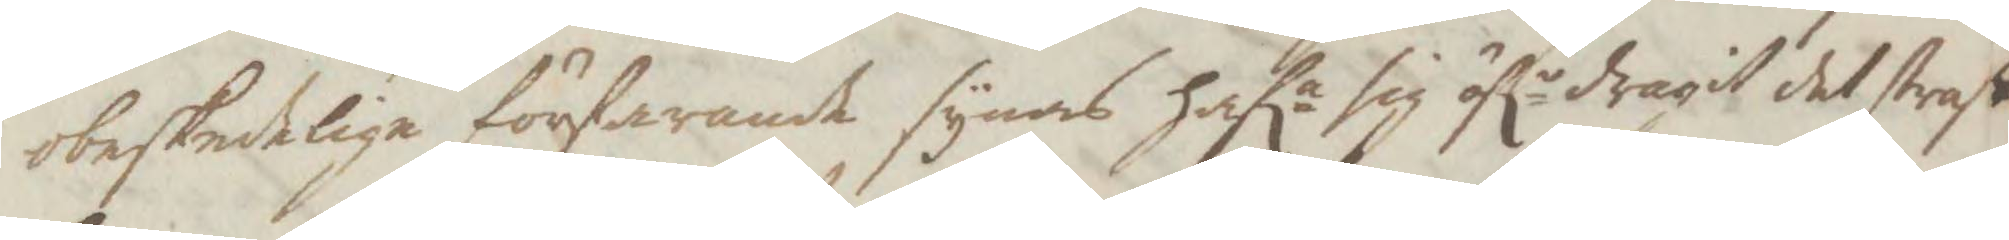obeskedelige förfarande synas hafa sig öfr dragit det straff
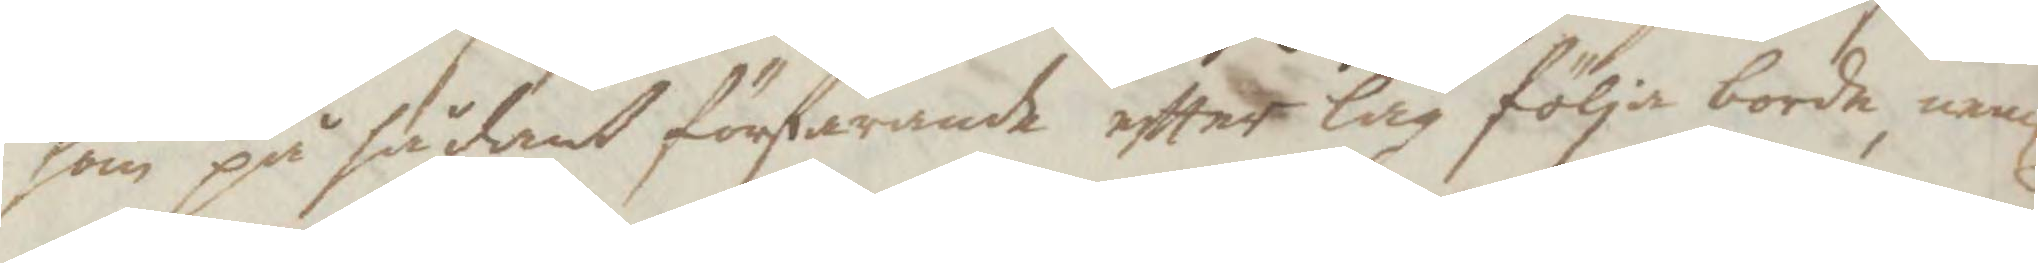som på sådant förfarande eftter lag föla borde, neml.
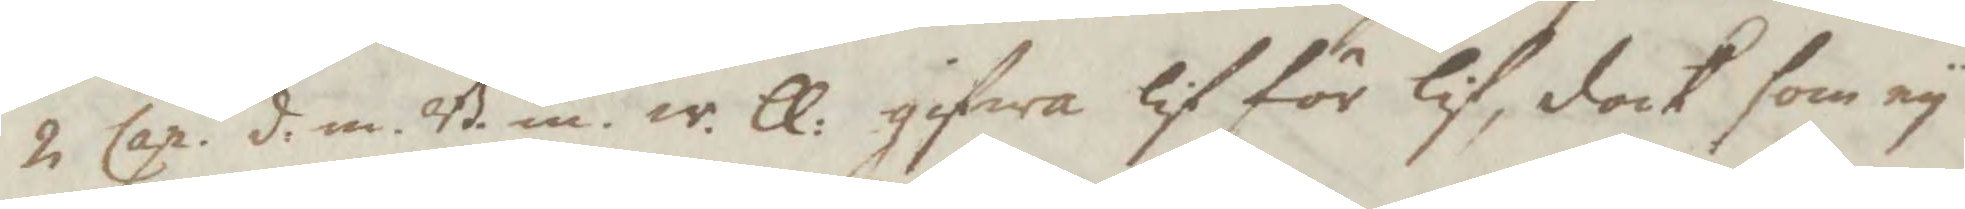2 Cap. d.m.B.in.w.ll. gifwa lif för lif, dock som ey
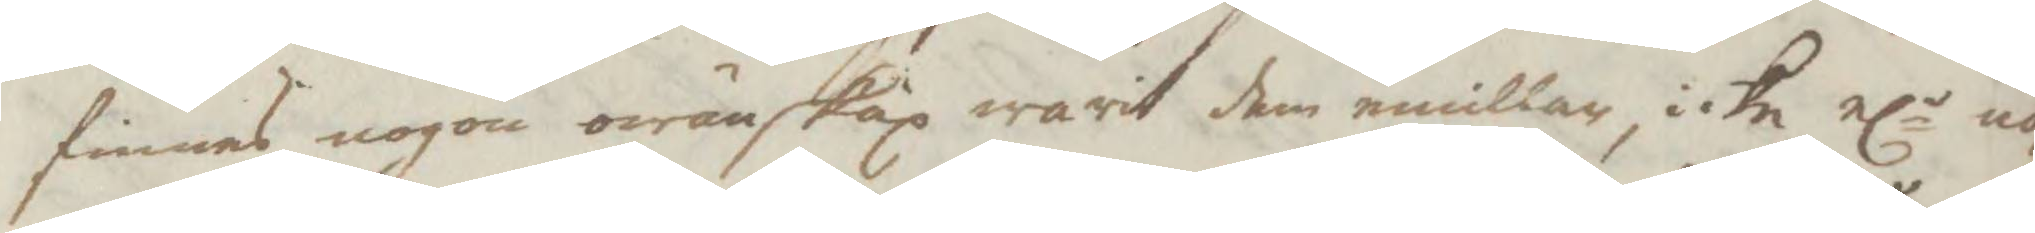finnes nogon owäskap warit dem emillan, icke elr no¬
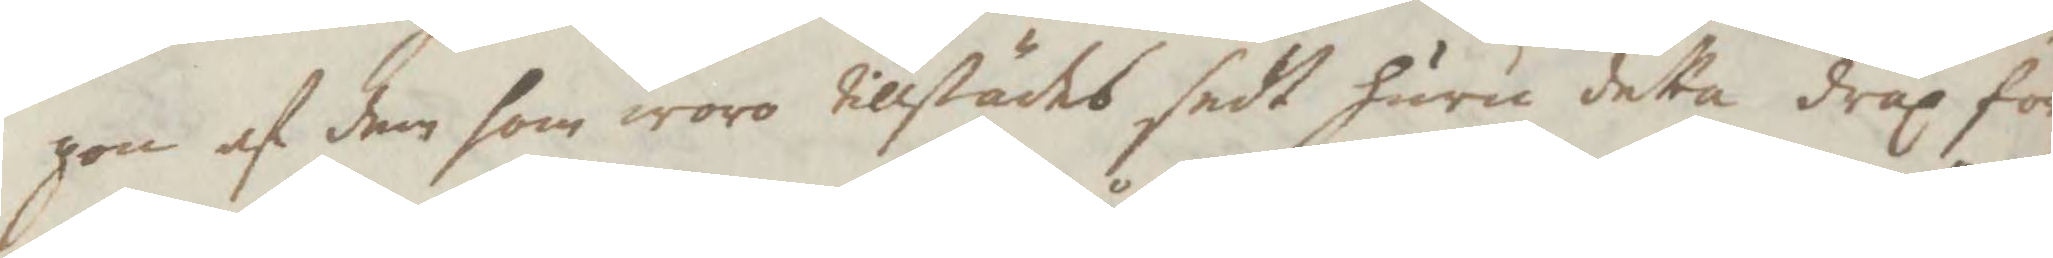gon af dem som woro tillstädes sedt huru detta dråp för¬
